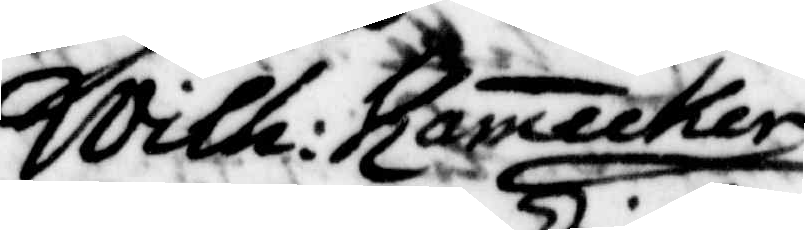Wilh: Ramecker
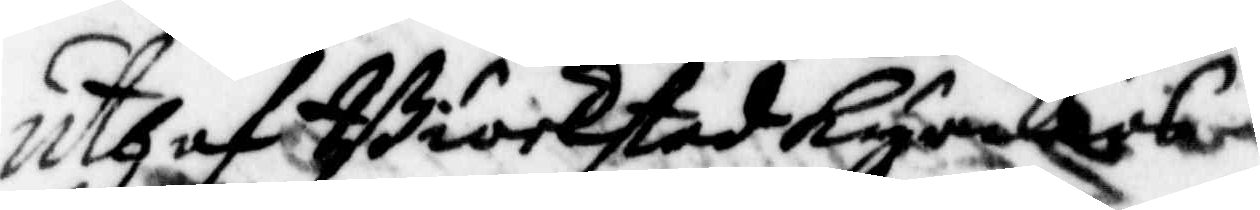uthaf Biörkstad Kyrkias
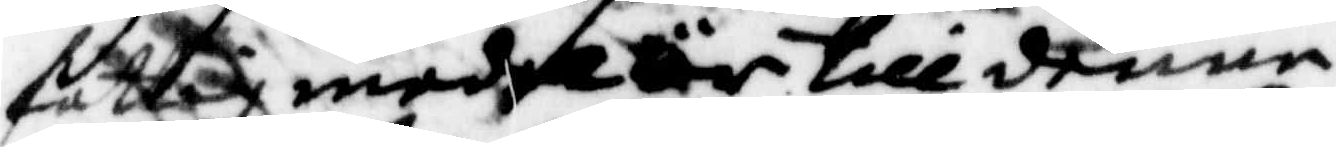fattig medel är till denne
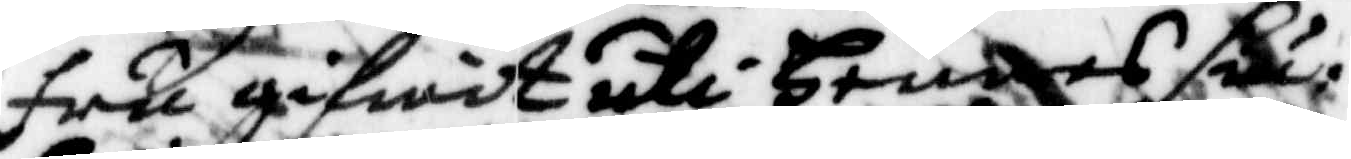fru gifwit uti Hennes siu¬
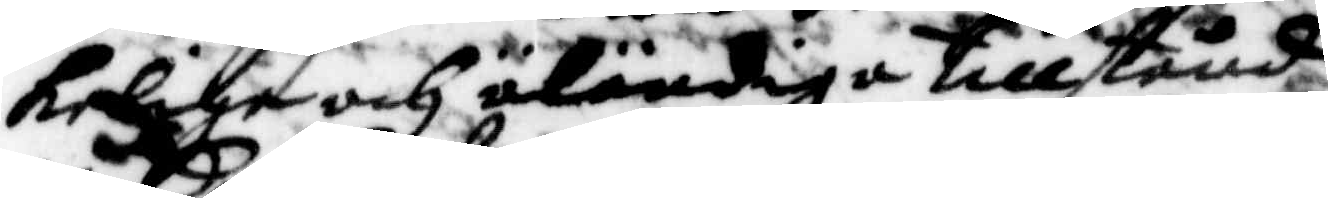keliga och äländiga tillstånd
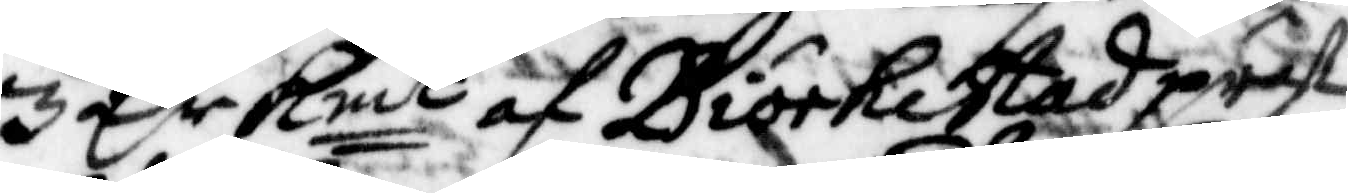3 Cr Kmt af Biörkstad präst¬
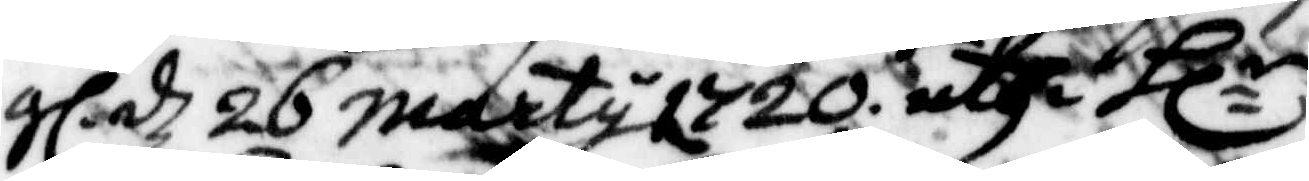gl.dz 26 marty 1720. uthi Hlr
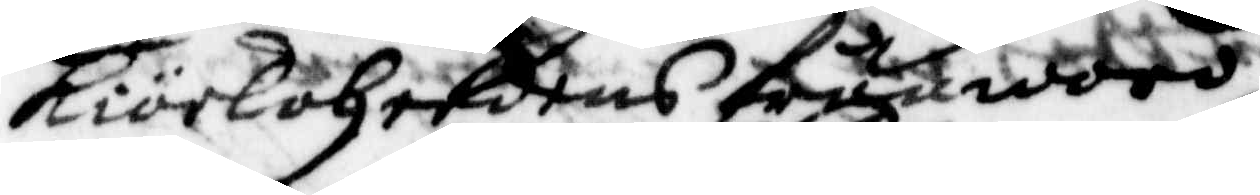Kiörkoherdens frånwaro
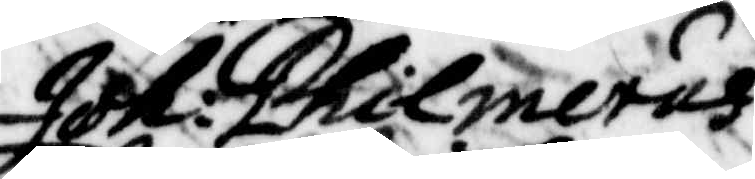Joh: Philmerus
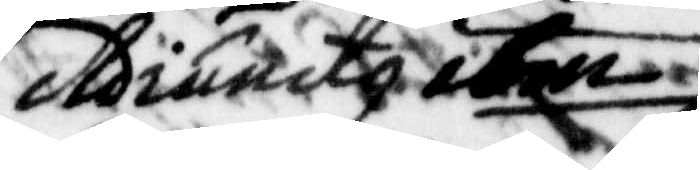Adiuncty ibm
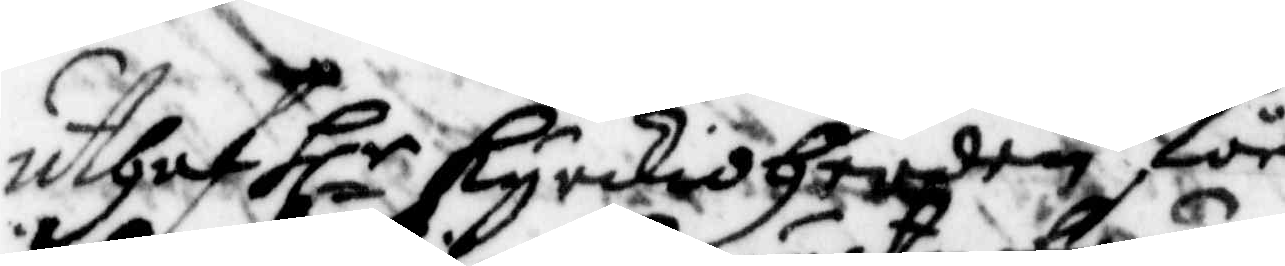Uthaf Hlr kyrkioherden för
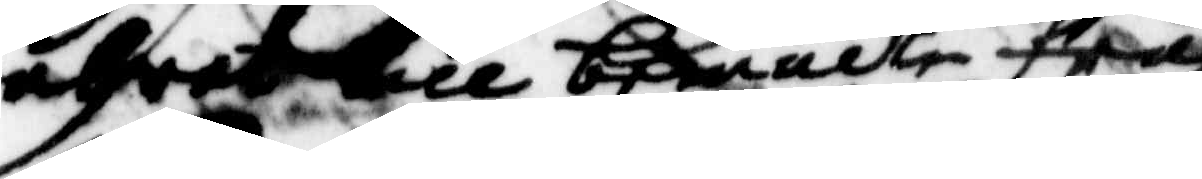uhret till bemälte fru
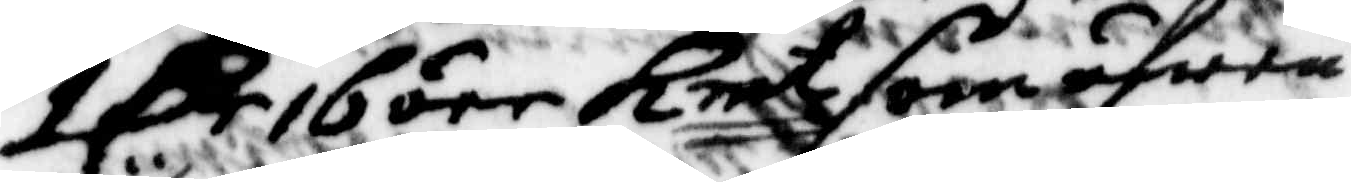1 Cr 16 öre Kmt som äfwen
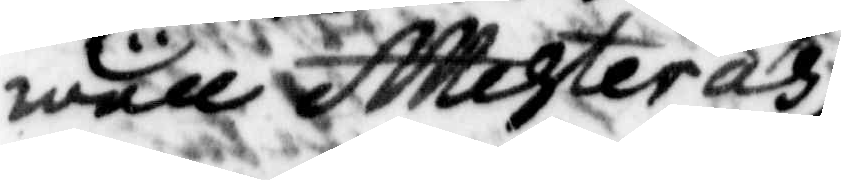wäll Attesteras
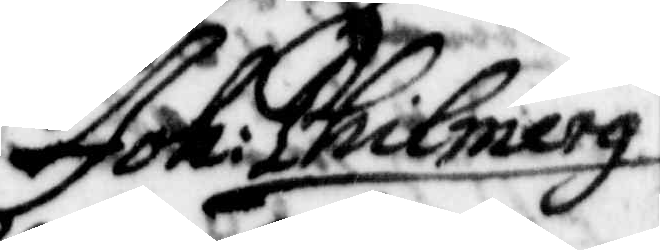Joh: Philmerg
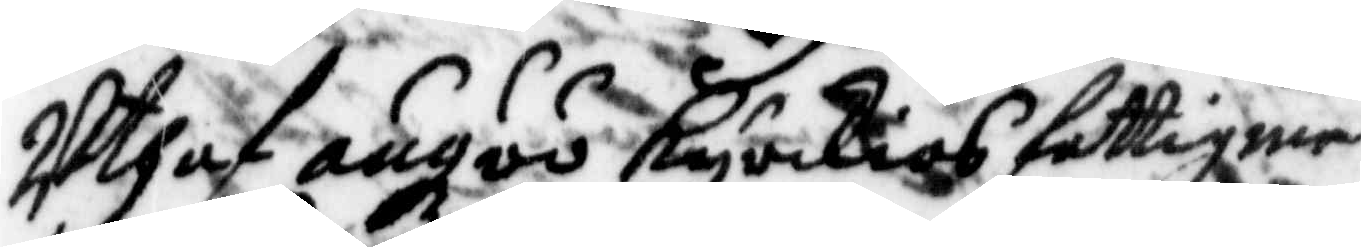Uthaf ängöö Kyrkias fattigme¬
